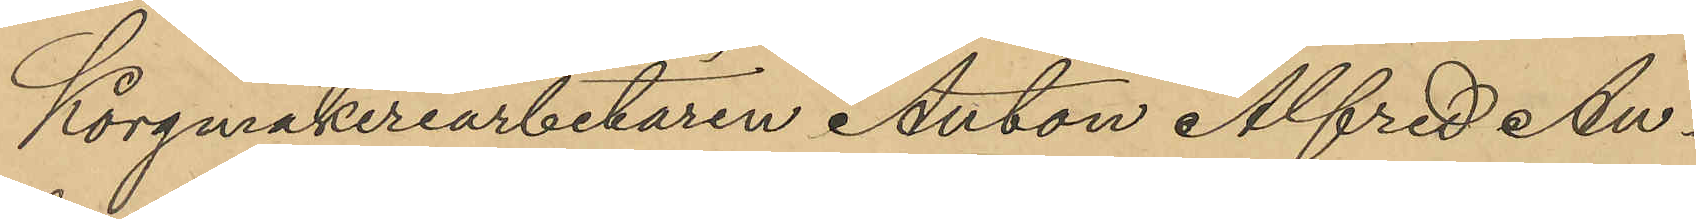Korgmakeriarbetaren Anton Alfred An¬
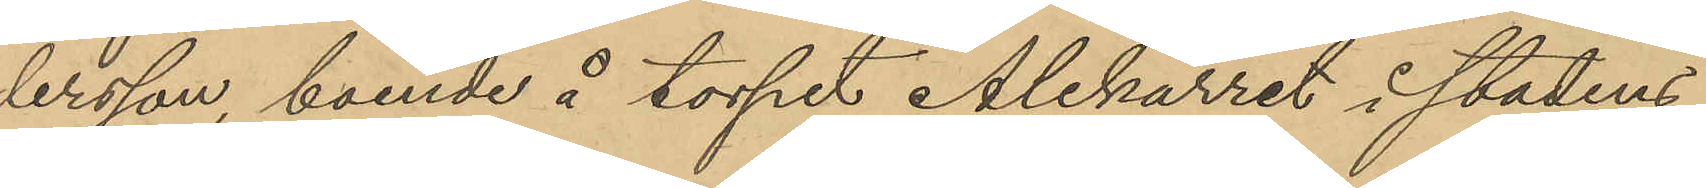dersson, boende å torpet Alekärret i stadens
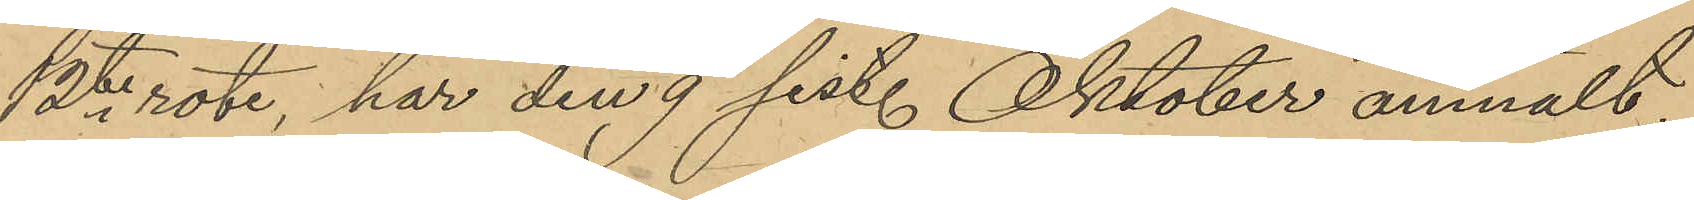12te rote, har den 9 sist. Oktober anmält
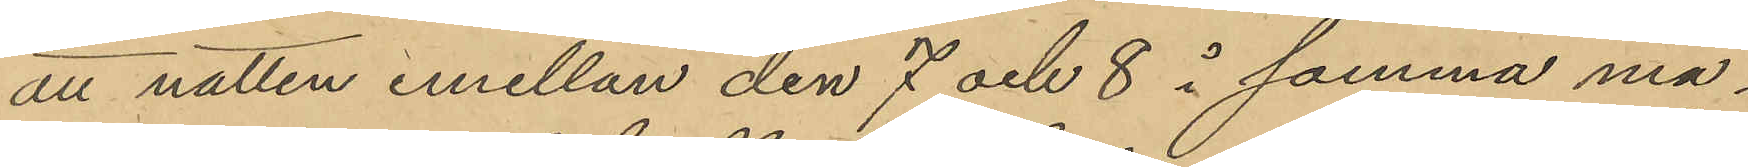att natten emellan den 7 och 8 i samma må¬
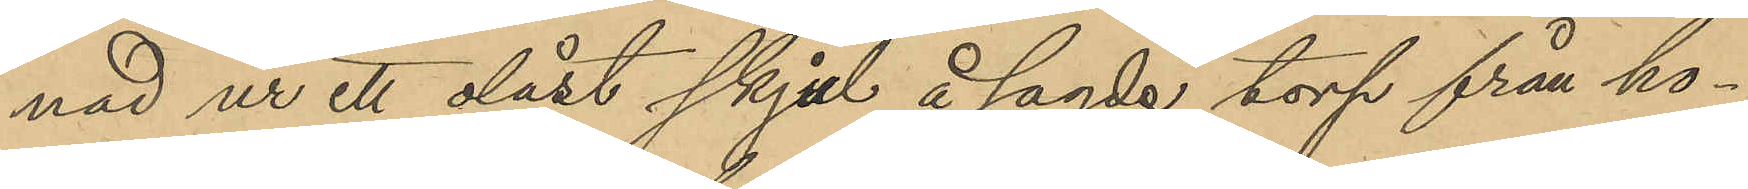nad ur ett olåst skjul å sagde torp från ho¬
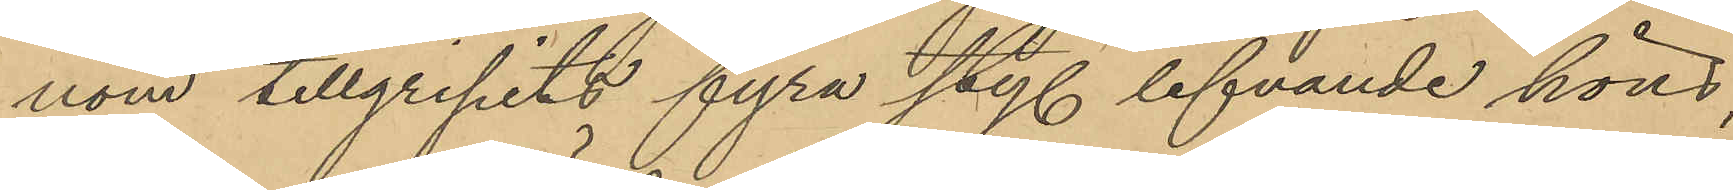nom tillgripits fyra sty. lefvande höns,
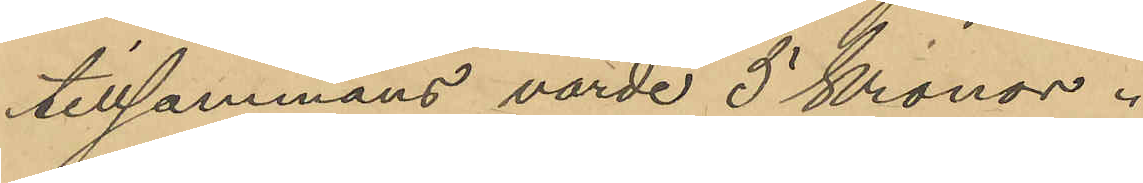tillsammans värde 5 Kronor.
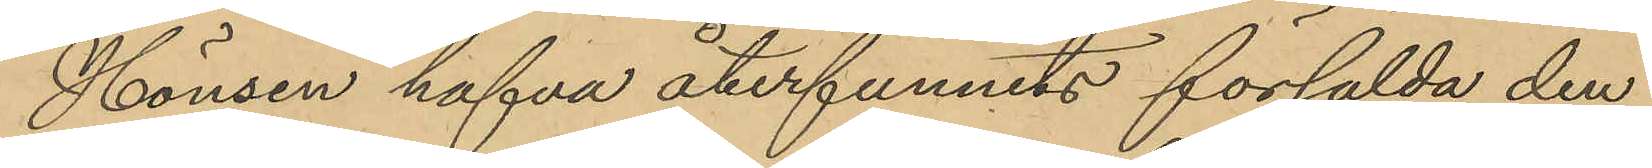Hönsen hafva återfunnits försålda den
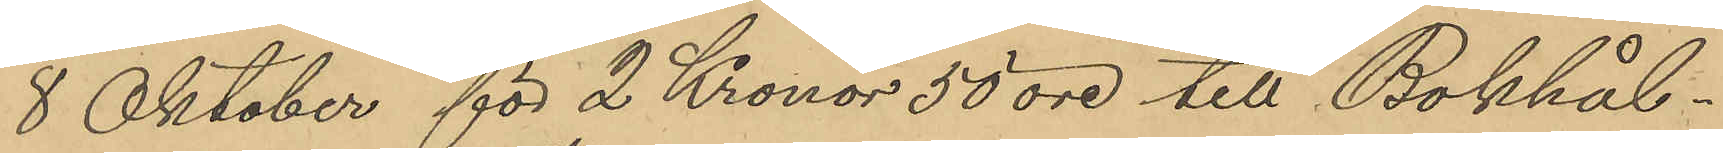8 Oktober för 2 Kronor 50 öre till Bokhål¬
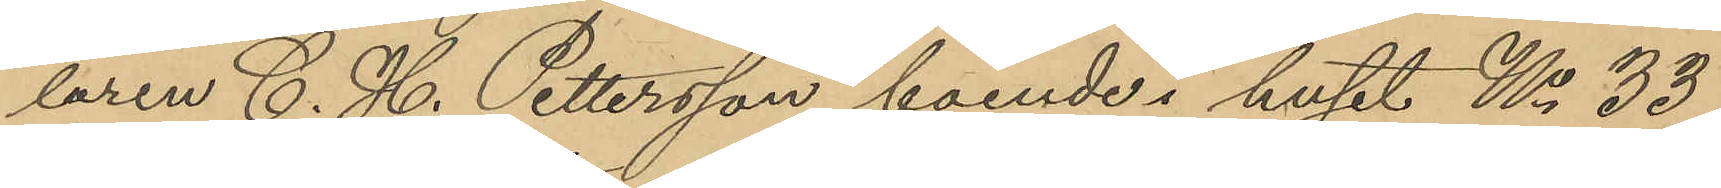laren C. H. Pettersson, boende i huset No 33
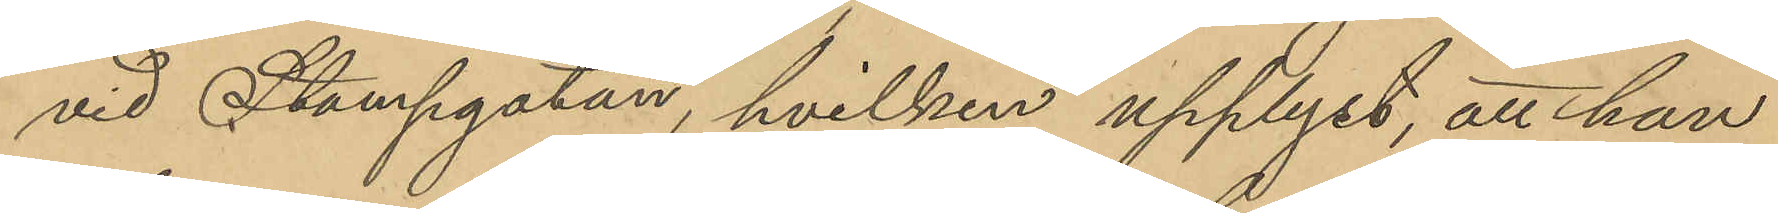vid Stampgatan, hvilken upplyst, att han
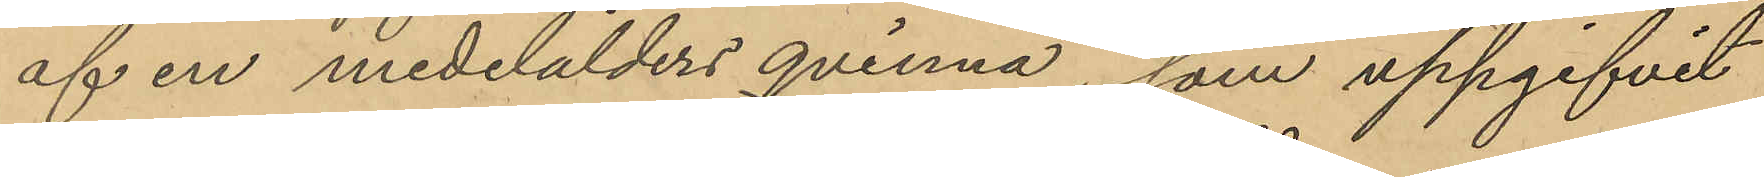af en medelålders qvinna, som uppgifvit
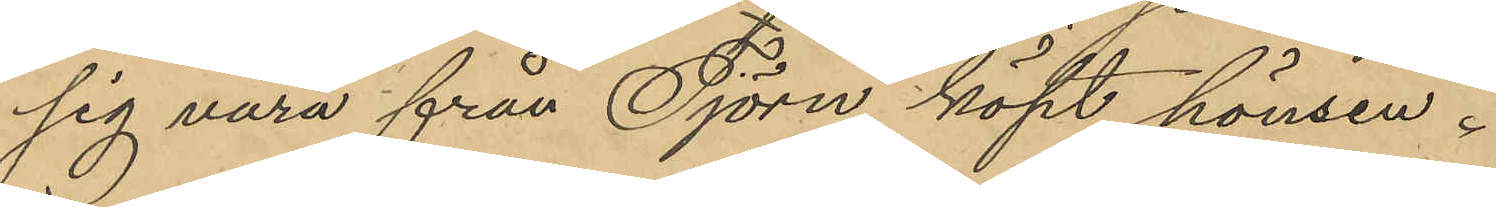sig vara från Tjörn köpt hönsen.
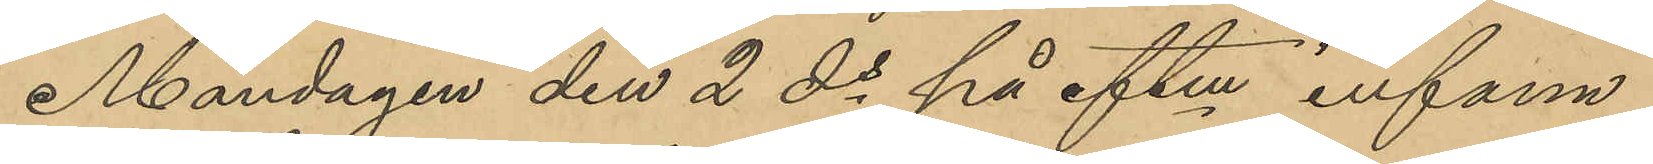Måndagen den 2 ds på eftm infann
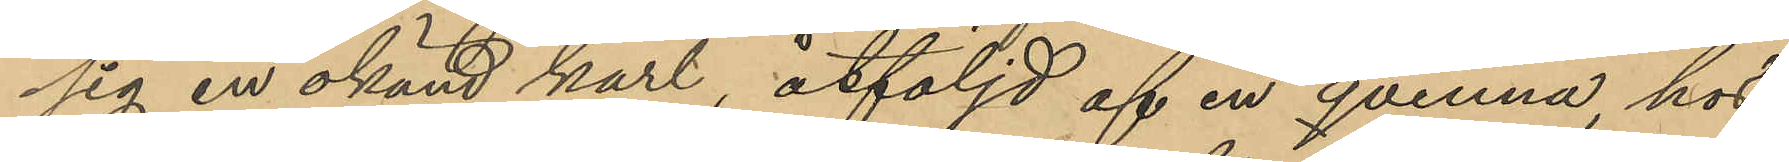sig en okänd karl, åtföljd af en qvinna, hos
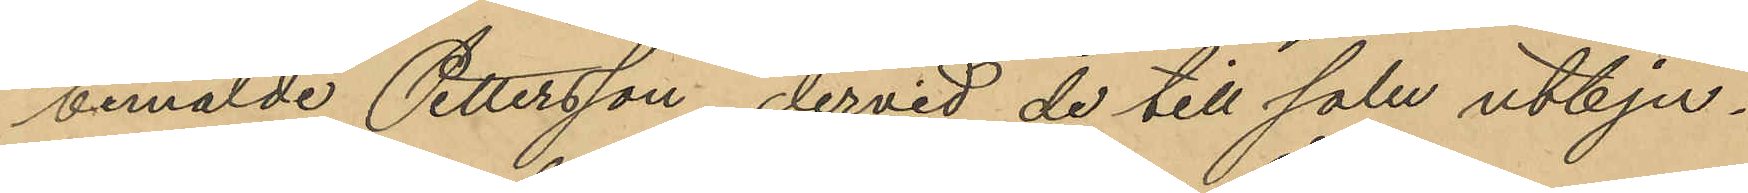bemälde Pettersson, dervid de till salu utbju¬
